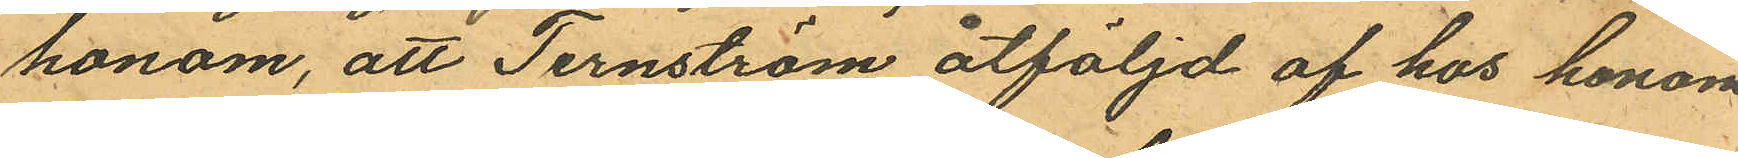honom, att Ternström åtföljd af hos honom
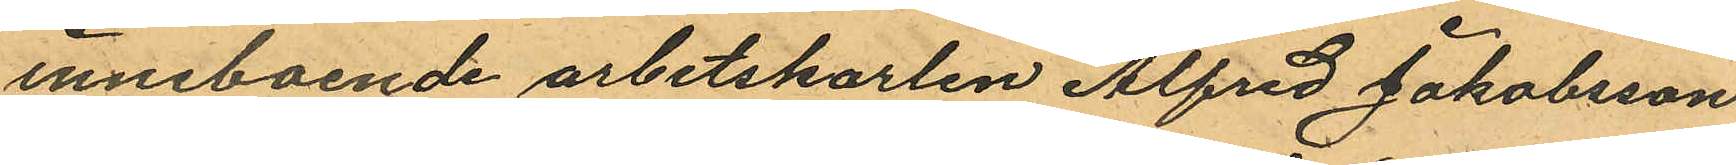inneboende arbetskarlen Alfred Jakobsson
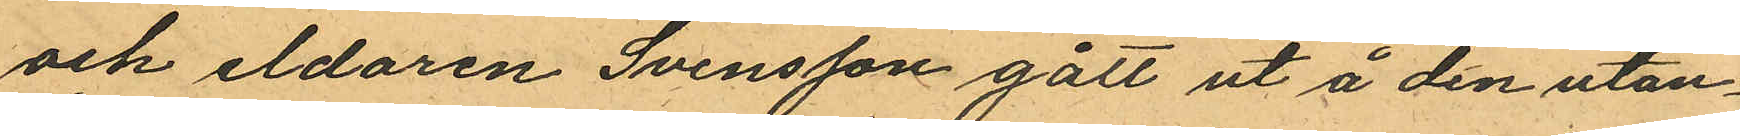och eldaren Svensson gått ut å den utan¬
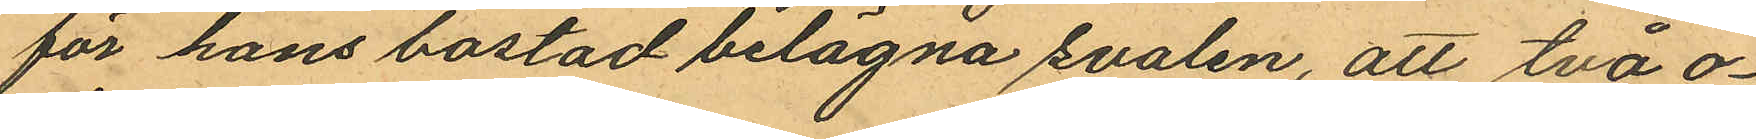för hans bostad belägna svalen, att två o¬
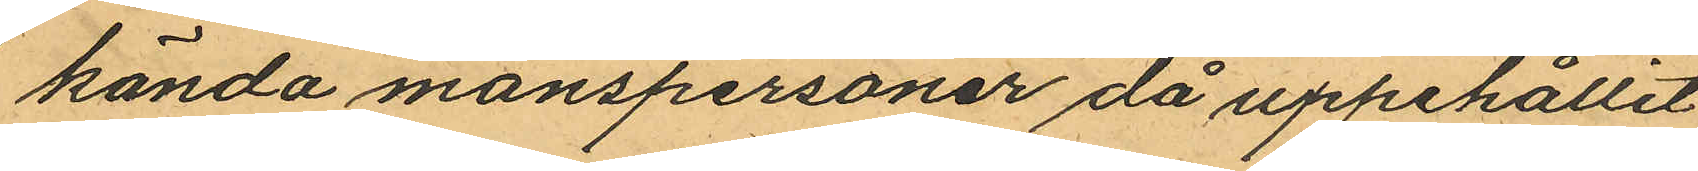kända manspersoner då uppehållit
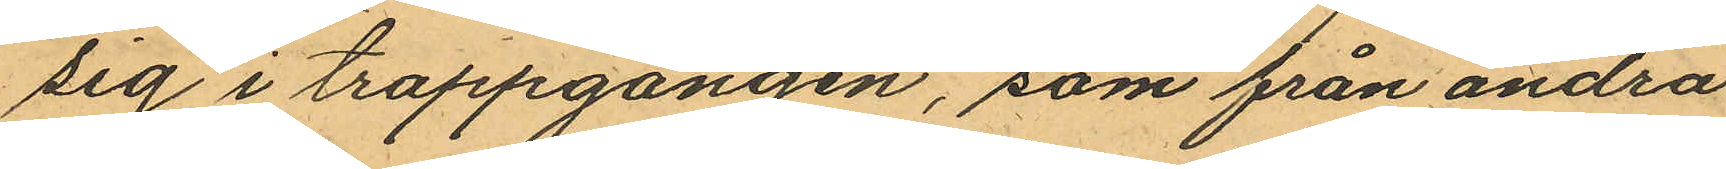sig i trappgången, som från andra
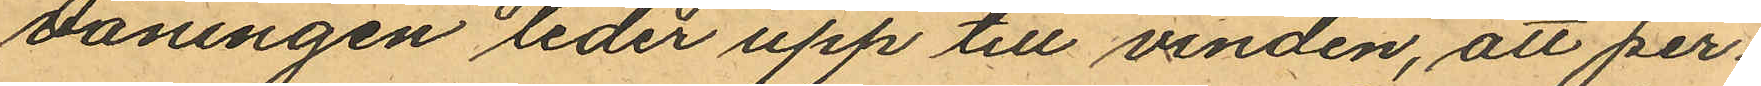våningen leder upp till vinden, att per¬
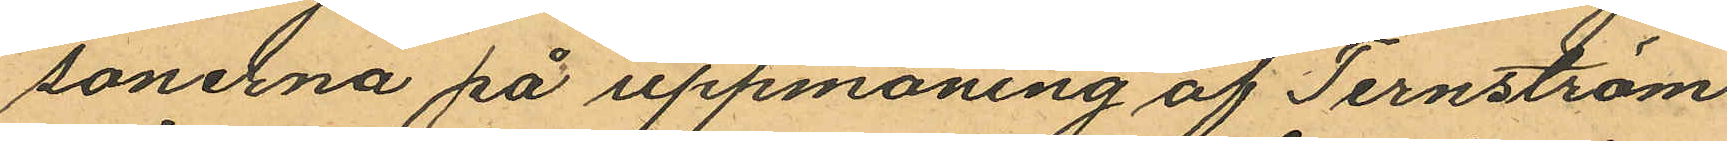sonerna på uppmaning af Ternström
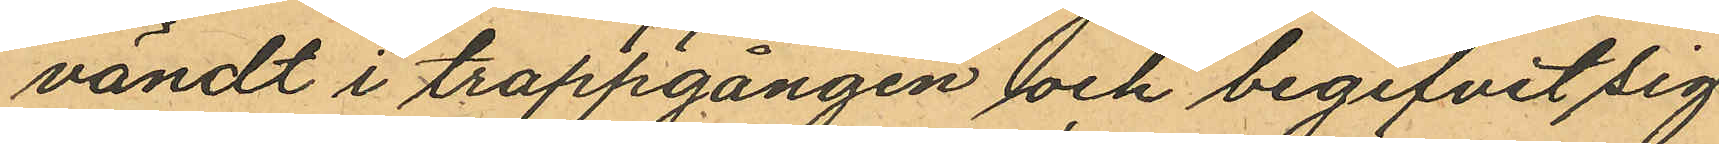vändt i trappgången och begifvit sig
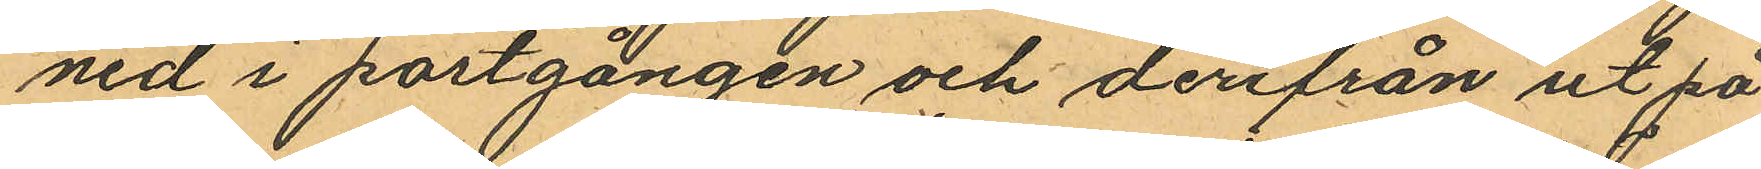ned i portgången och derifrån ut på
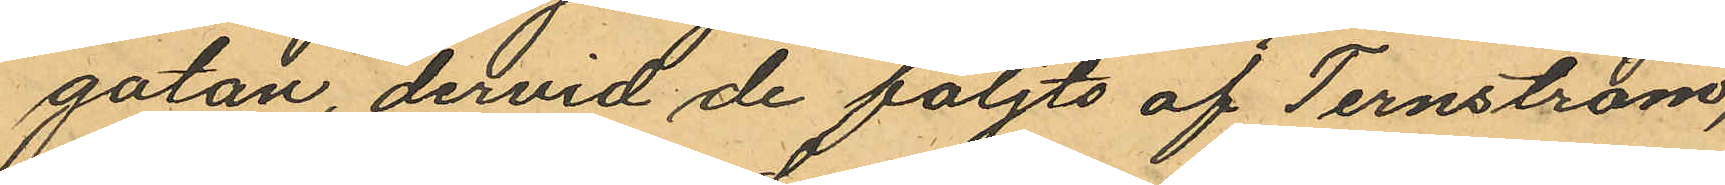gatan, dervid de följts af Ternström,
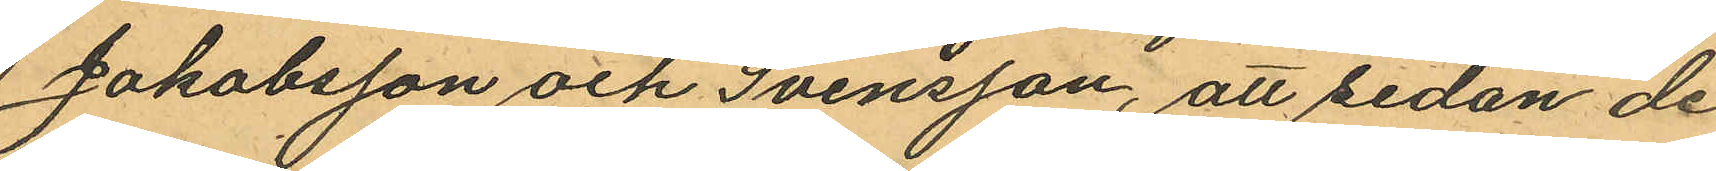Jakobsson och Svensson, att sedan de
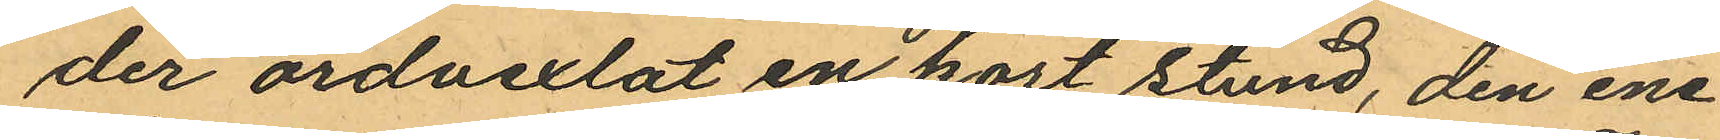der ordvexlat en kort stund, den ene
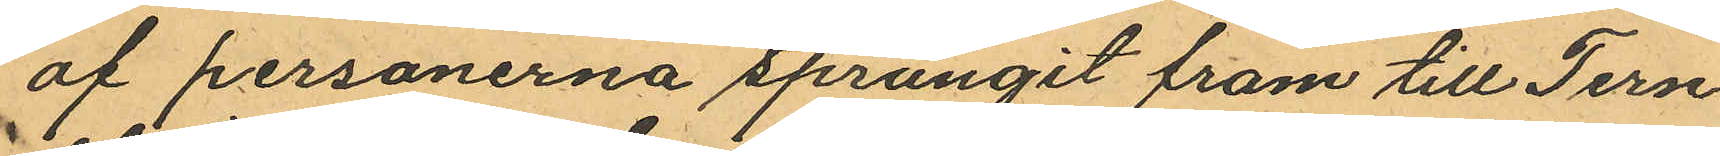af personerna sprungit fram till Tern¬
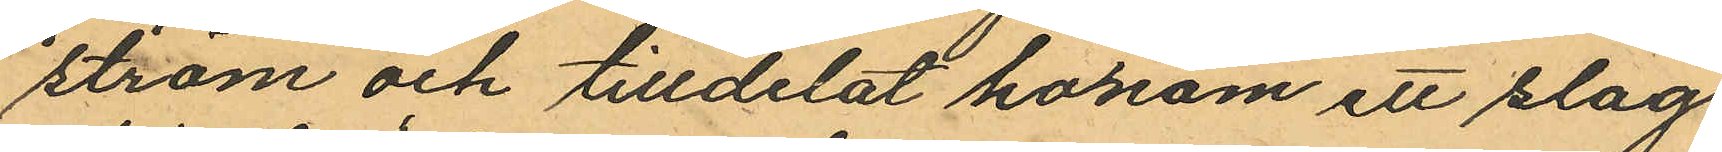ström och tilldelat honom ett slag
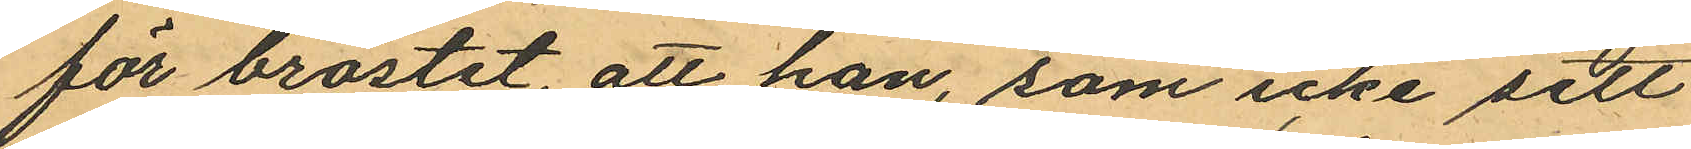för bröstet, att han, som icke sett
